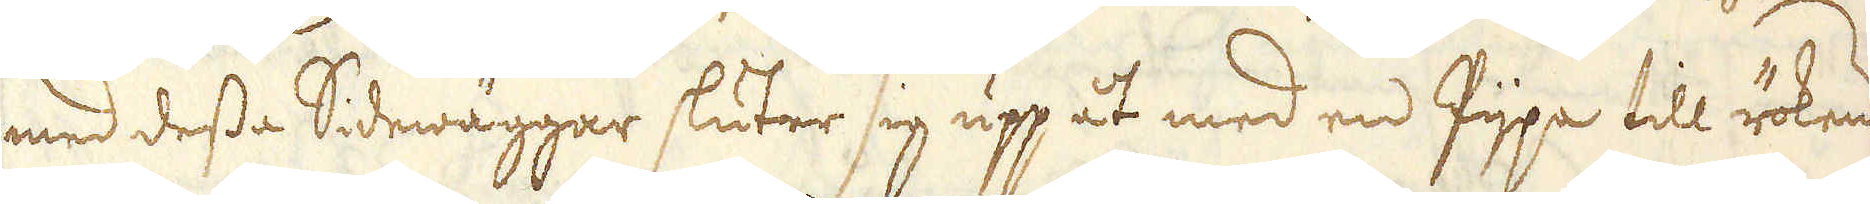med dessa Sidewäggar sluter sig upp åt med en Pijpa till rökens
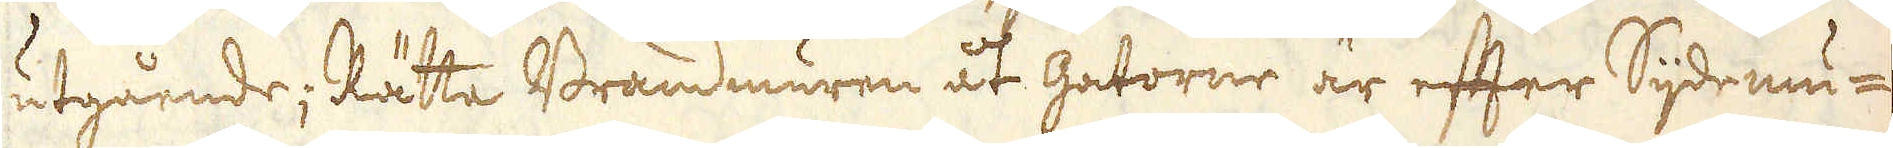utgående; Rätta Brandmuren åt gatorne är efter Sijdemu-
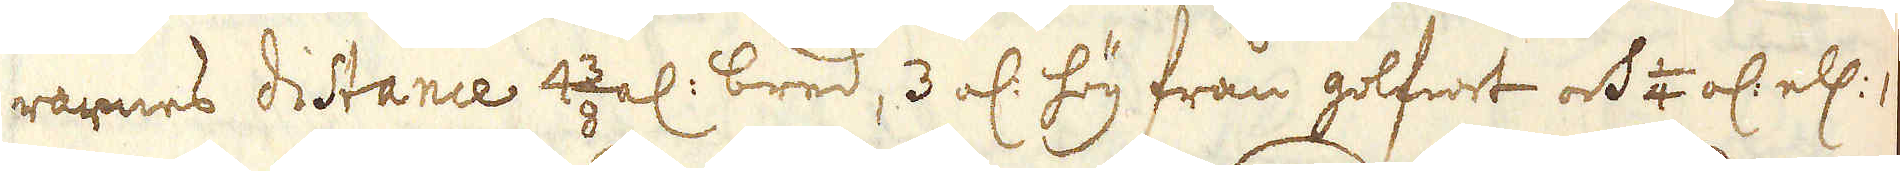rarnes distance 4 3/8 al: bred, 3 al: hög från golfwet och 1/4 al: ell: 1
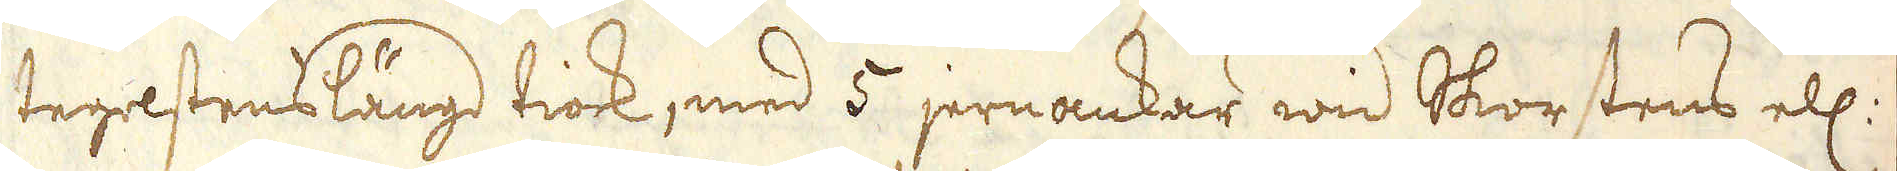tegelstenslängd tiock, med 5 jernankar wid Skorstens ell:
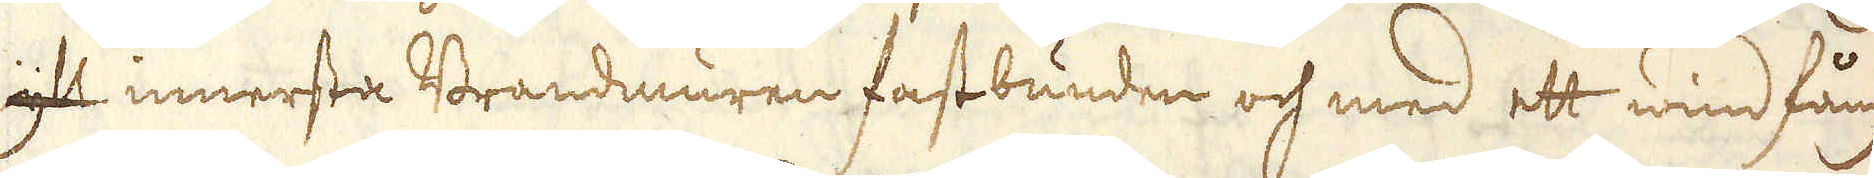yll innersta Brandmuren fastbunden och med ett windfång
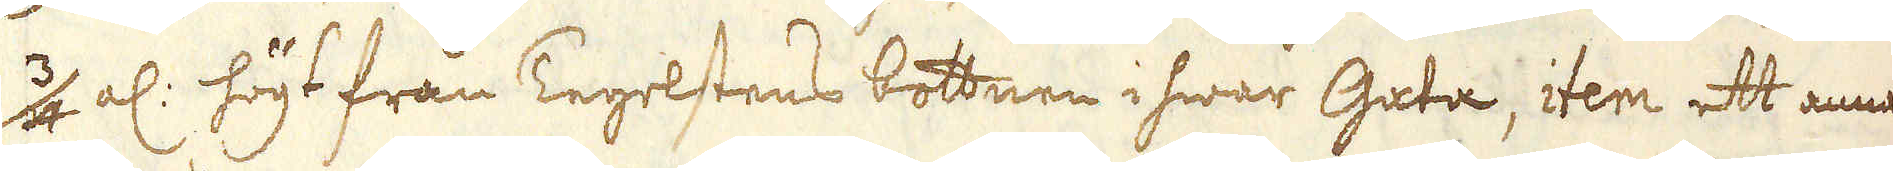3/4 al: högt från Tegelstens bottnen i hwar gata, item ett annat
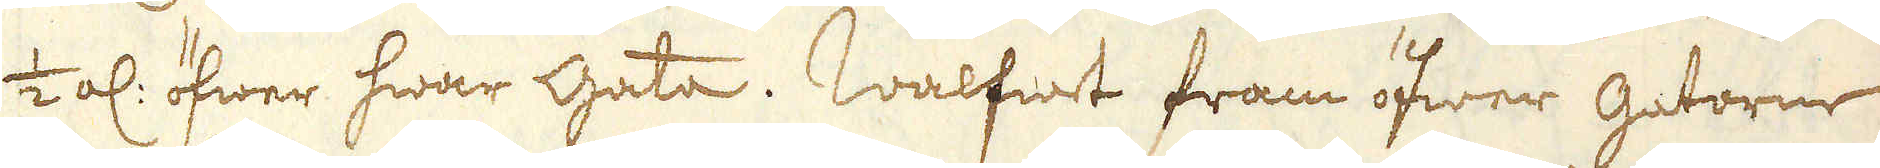1/2 al: öfwer hwar Gata. Walfwet fram öfwer Gatorne
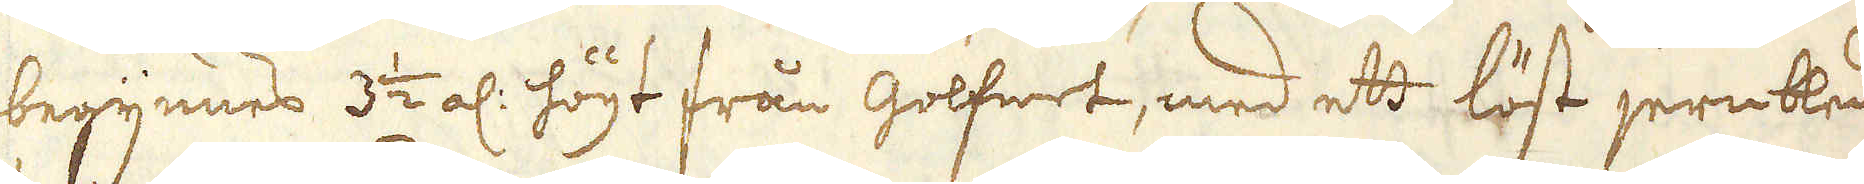begynnes 3 1/2 al: högt från golfwet, med ett löst jernbleck
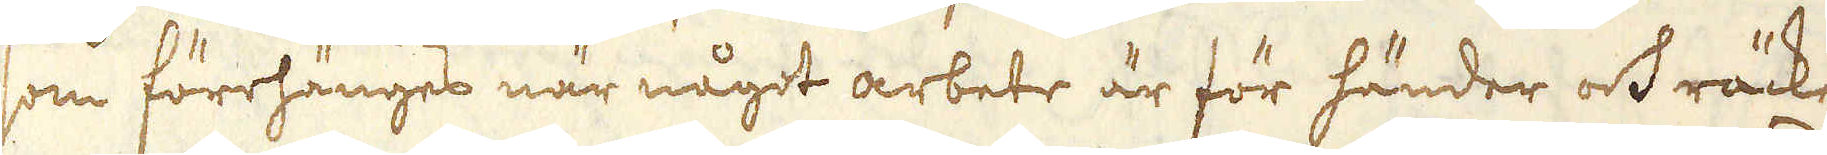som förrhänges när något arbete är för händer och räcker
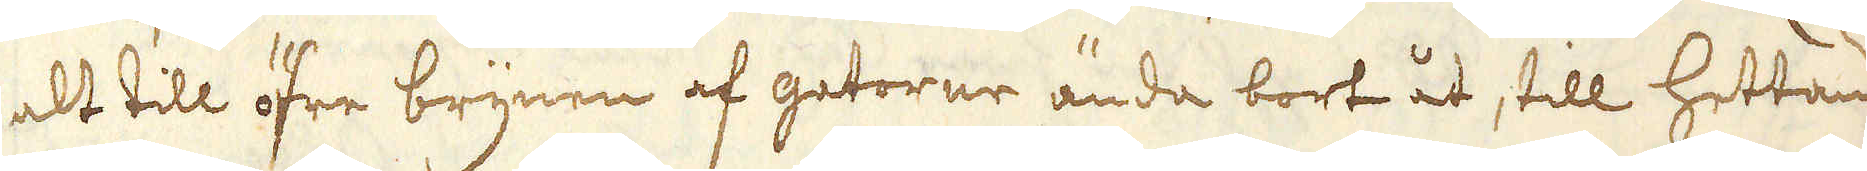alt till öfre brynen af gatorne ända bort åt, till hettans
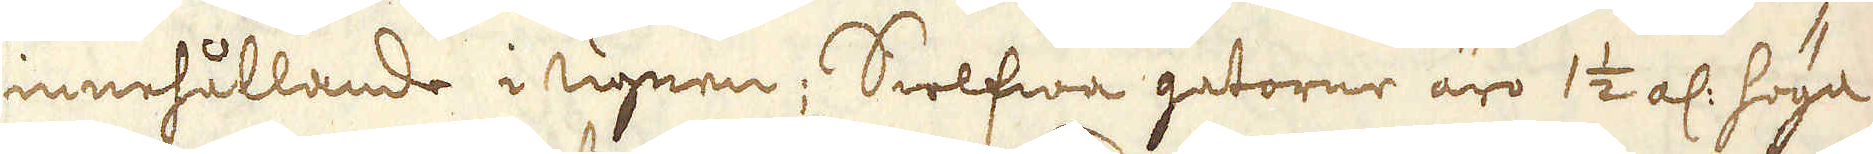innehållande i ugnen; Sielfwa gatorne äro 1 1/2 al: höga
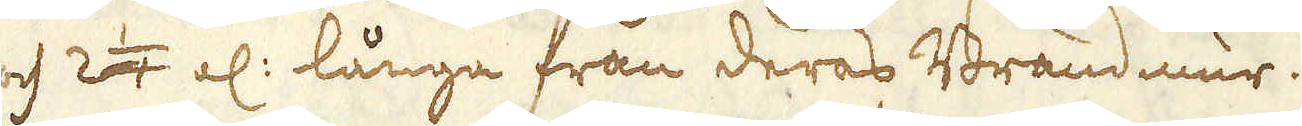och 2 1/4 al: långa från deras Brandmur.
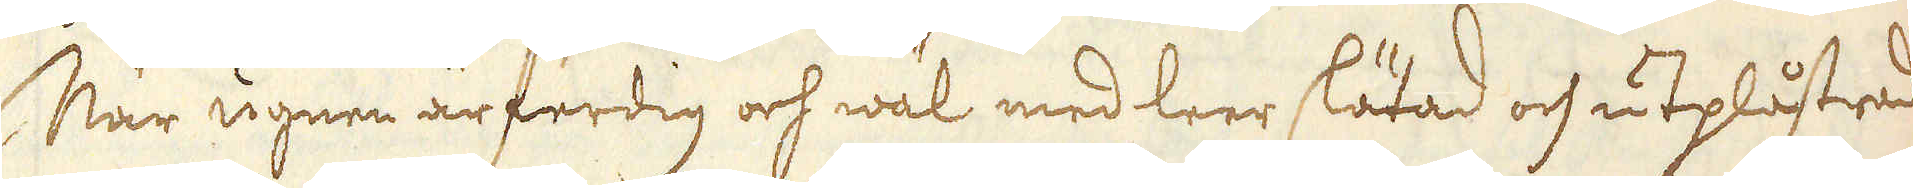När ugnen är ferdig och wäl med leer slätad och utplåstrad
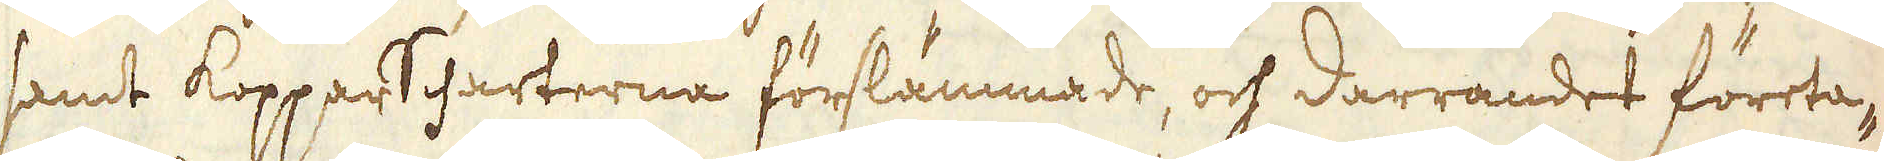samt Kopparscharterna förslämmade, och darrandet företa-
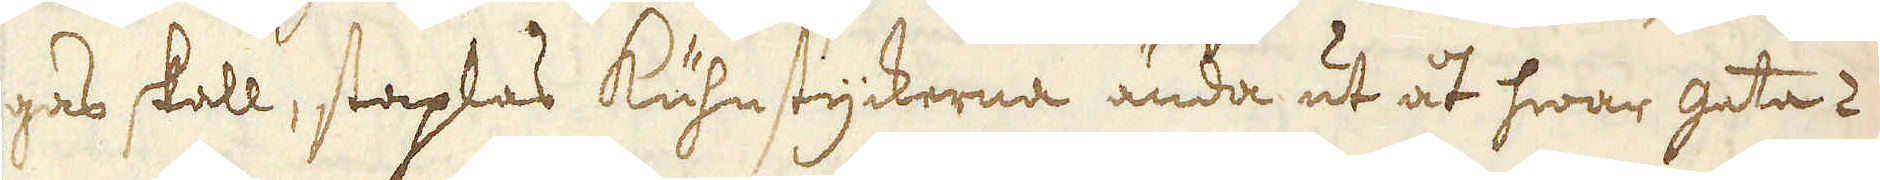gas skall, staplas kuhnstyckerna ända ut åt hwar gata 2
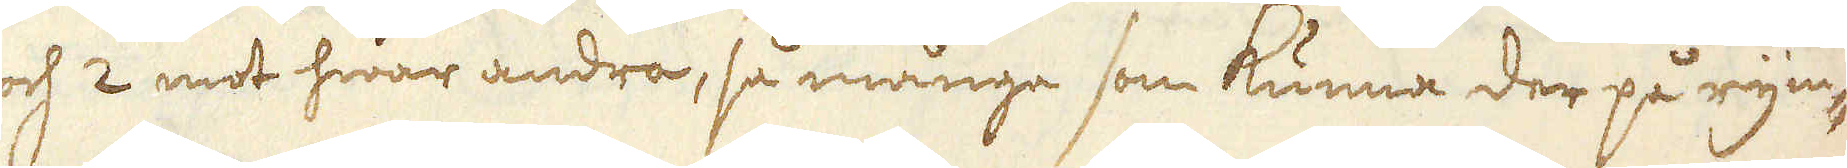och 2 mot hwar andra, så många som kunna der på rym-
